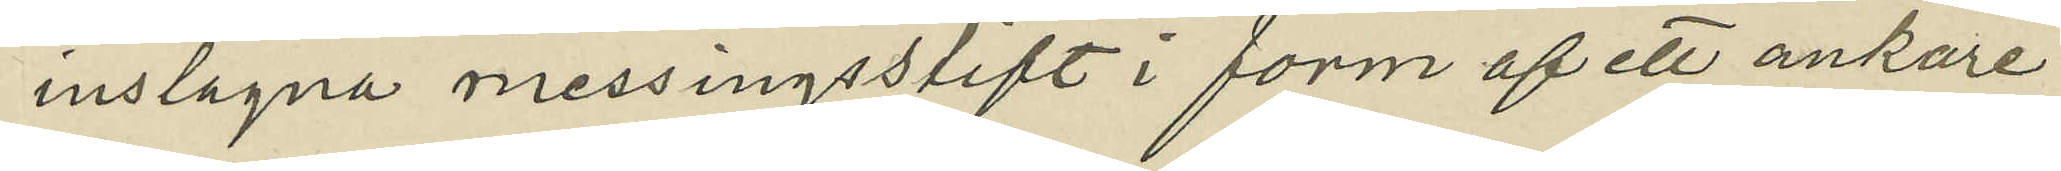inslagna messingsstift i form af ett ankare
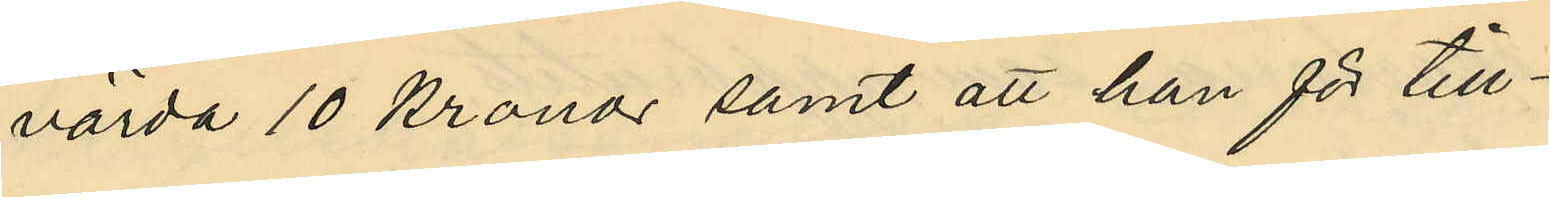värda 10 kronor samt att han för till¬
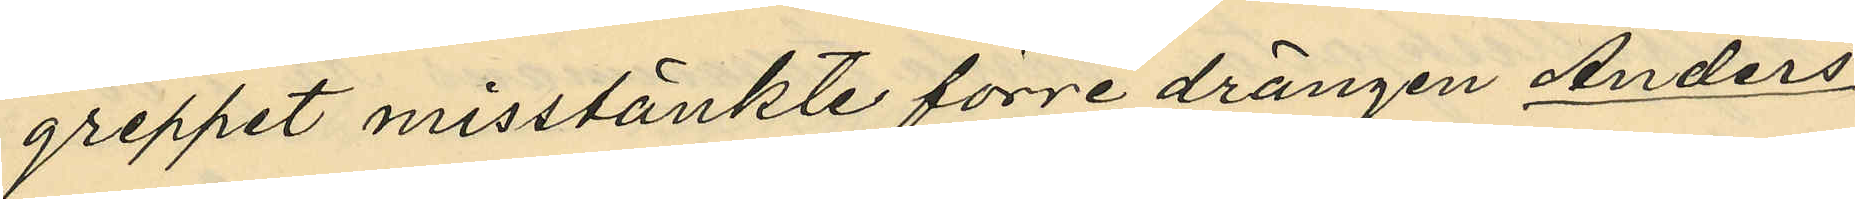greppet misstänkte förre drängen Anders
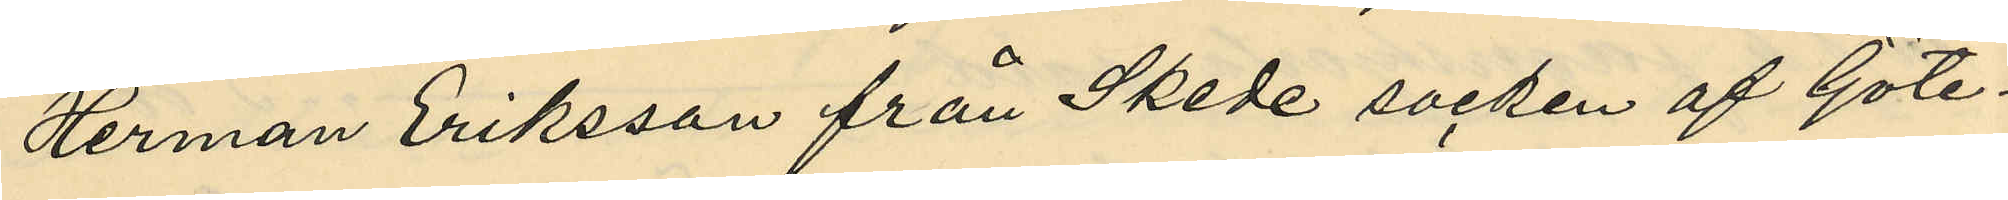Herman Eriksson från Skede socken af Göte¬
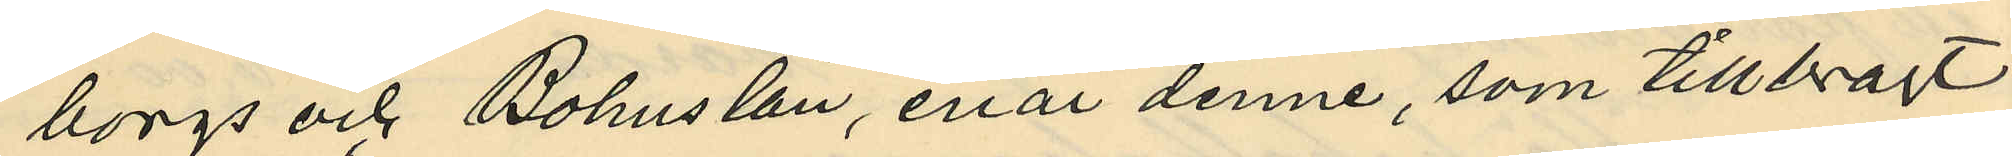borgs och Bohus län, enär denne, som tillbragt
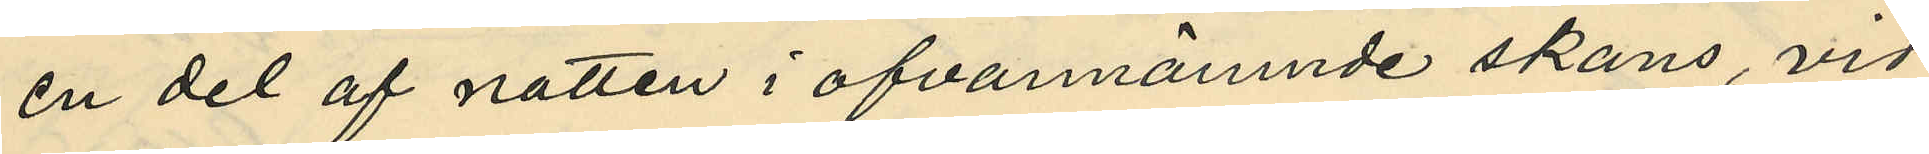en del af natten i ofvannämnde skans, vid
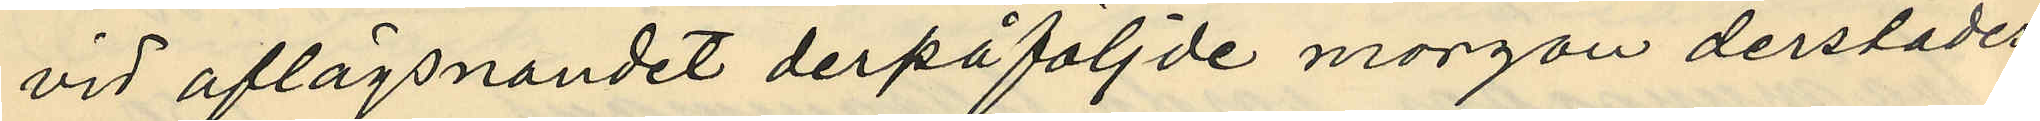vid aflägsnandet derpåföljde morgon derstädes
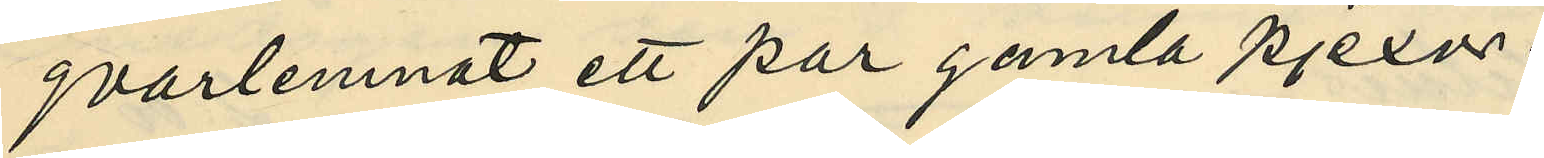qvarlemnat ett par gamla pjexor.
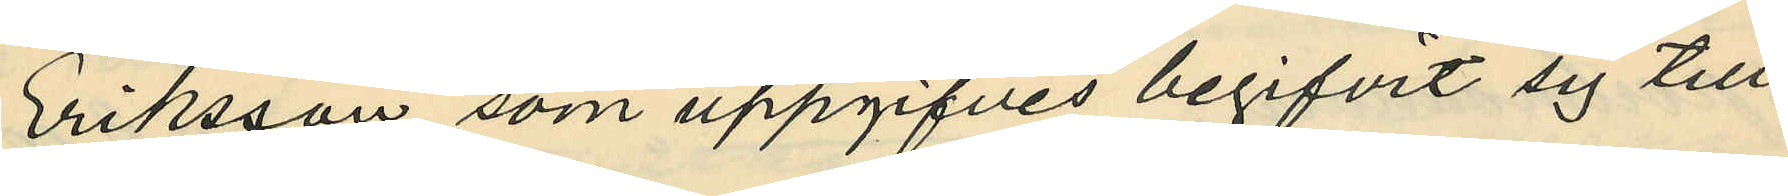Eriksson som uppgifves begifvit sig till
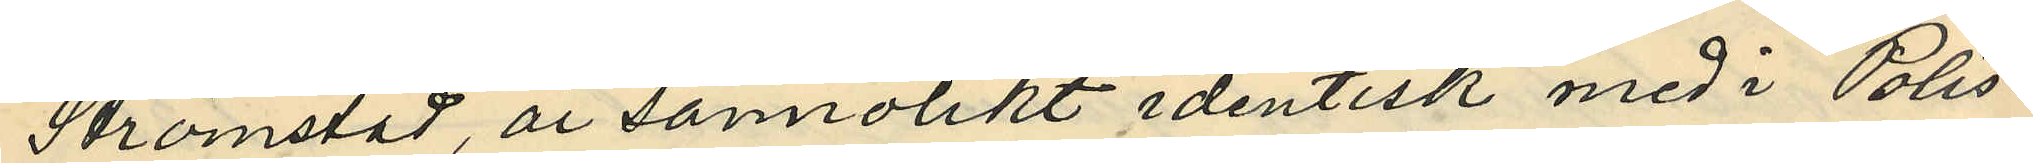Strömstad, är sannolikt identisk med i Polis¬
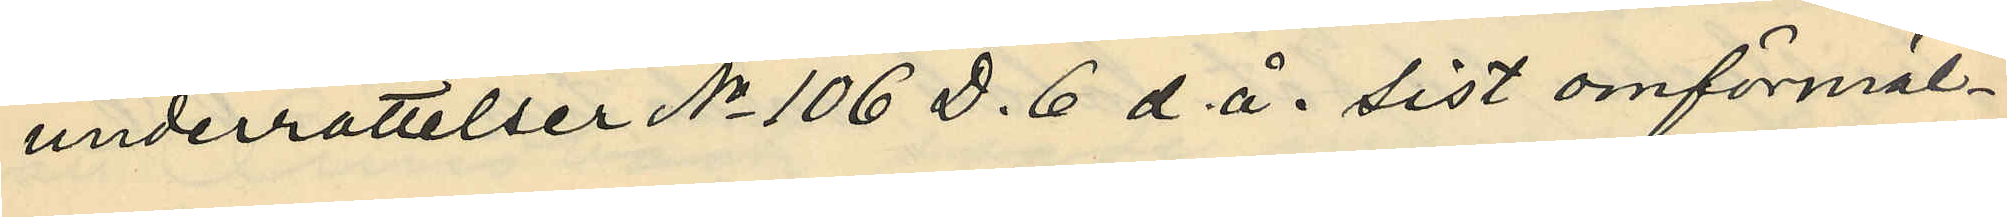underrättelser No 106 D. 6 d. å. sist omförmäl¬
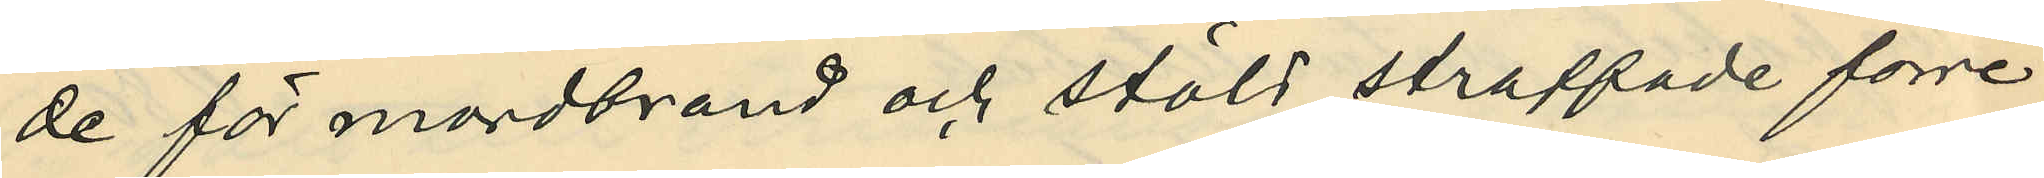de för mordbrand och stöld straffade förre
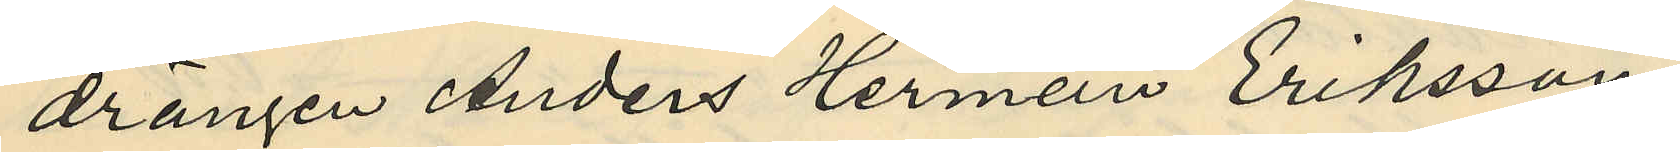drängen Anders Herman Eriksson.
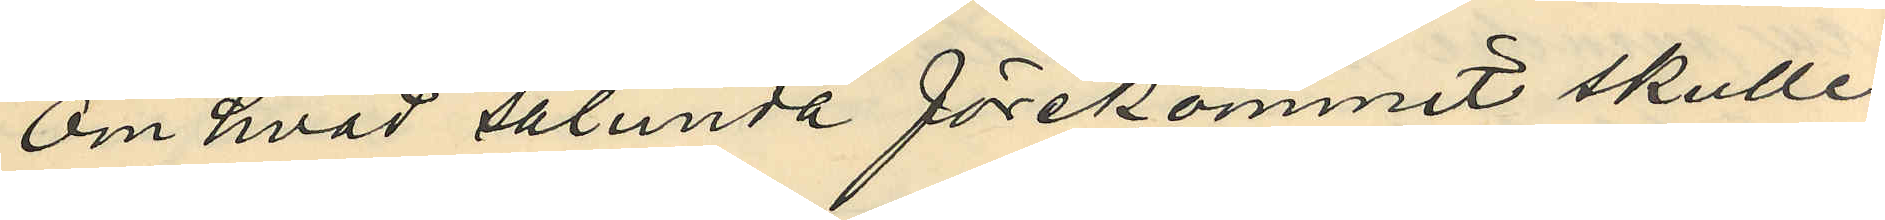Om hvad sålunda förekommit skulle
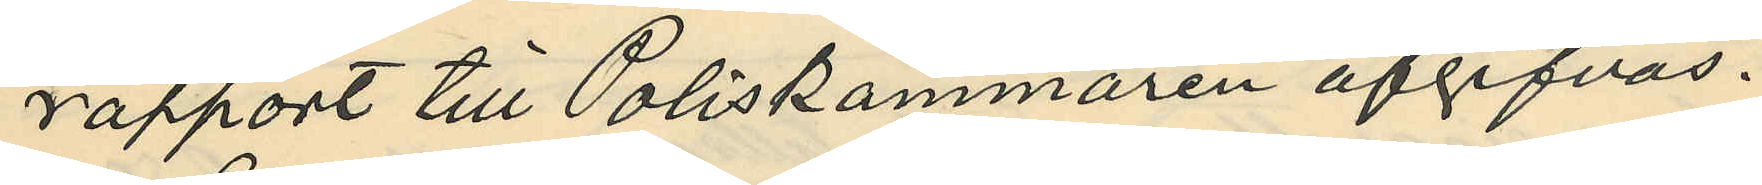rapport till Poliskammaren afgifvas.
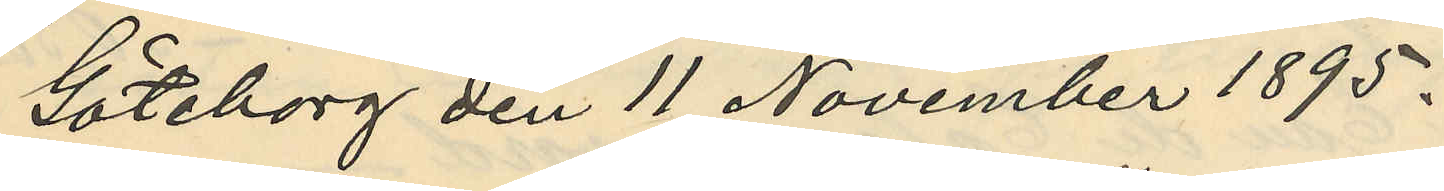Göteborg den 11 November 1895.
